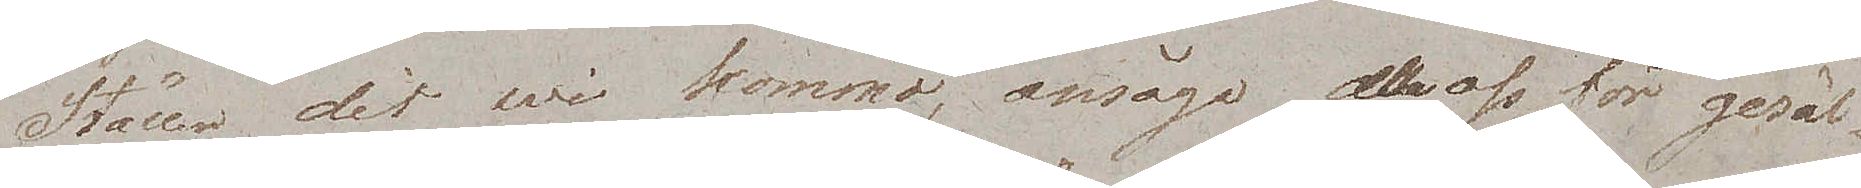Ställen dit wi kommo, ansågo de oss för gesäl¬
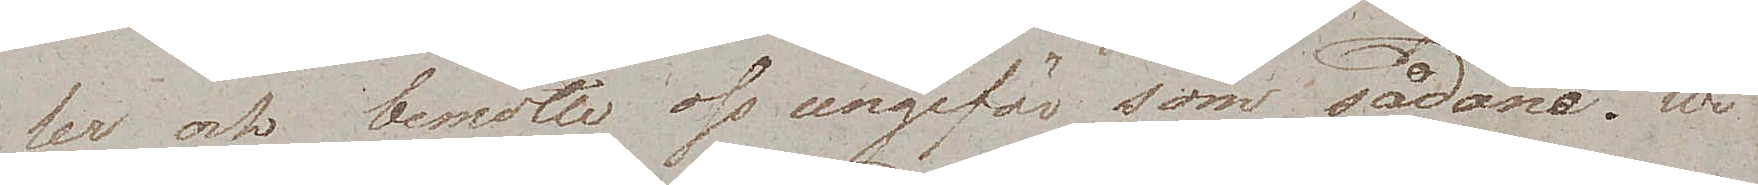ler och bemötte oss ungefär som sådane. Wi
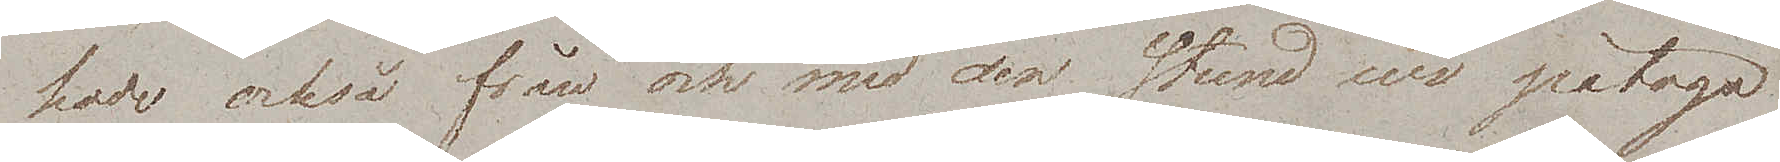hade också från och med den stund wi påtogo
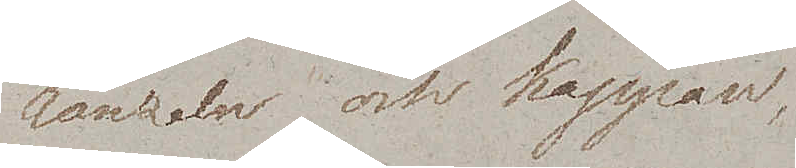ränzeln och kappan,
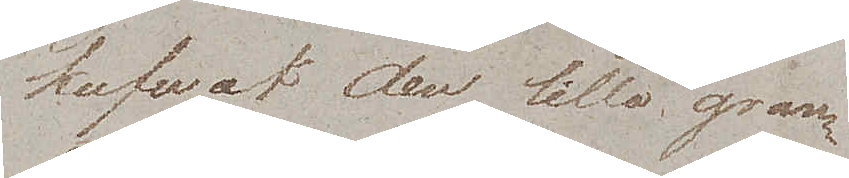kufvat den lilla gran¬
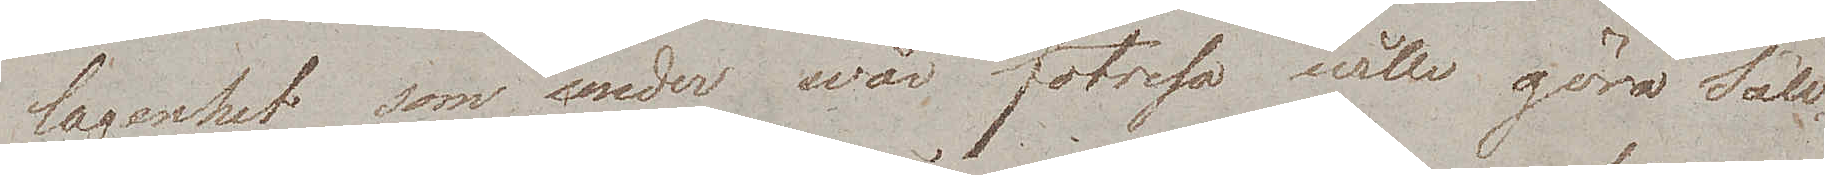lagenhet som under wår fotresa wille göra Säll¬
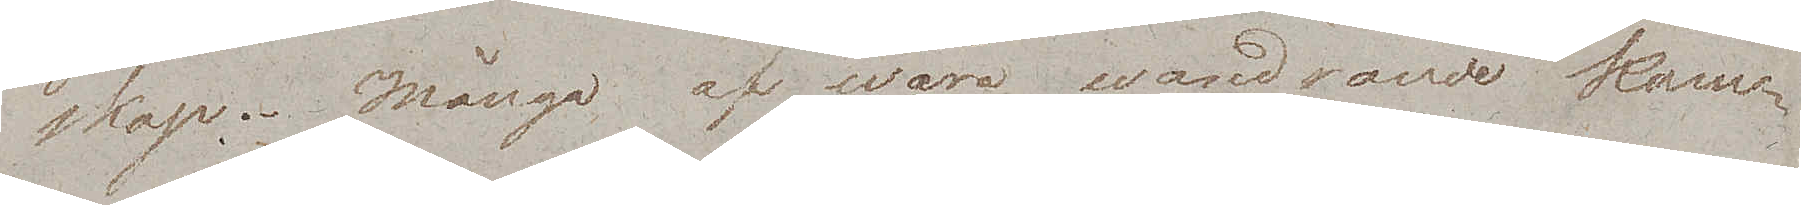skap. Många af wåra wandrande kam¬
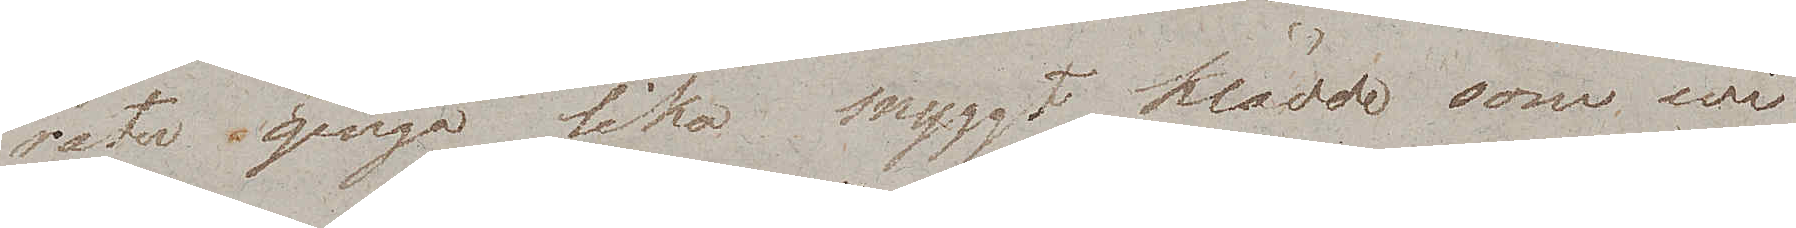rater gingo lika snyggt klädde som wi
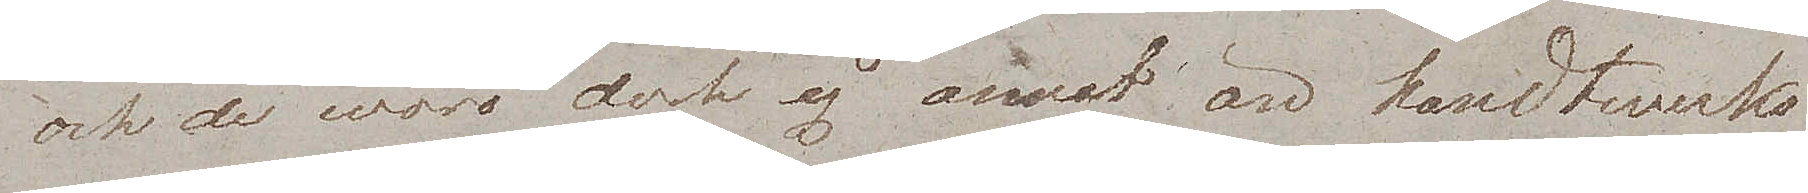och de woro dock ej annat än handtwerks¬
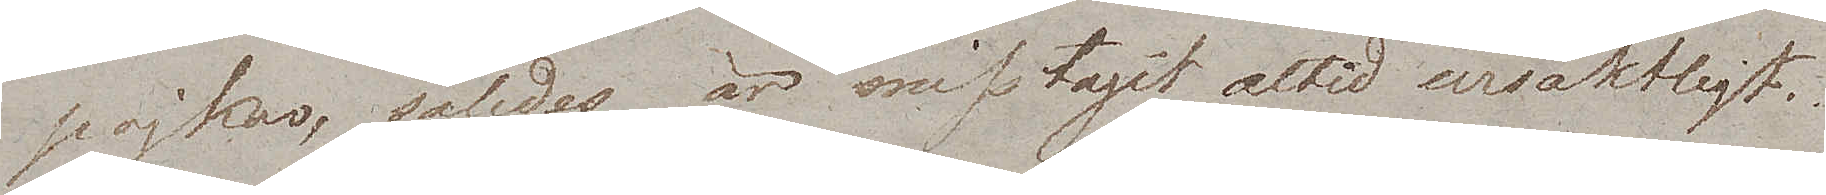pojkar, således är misstaget altid ursäktligt.
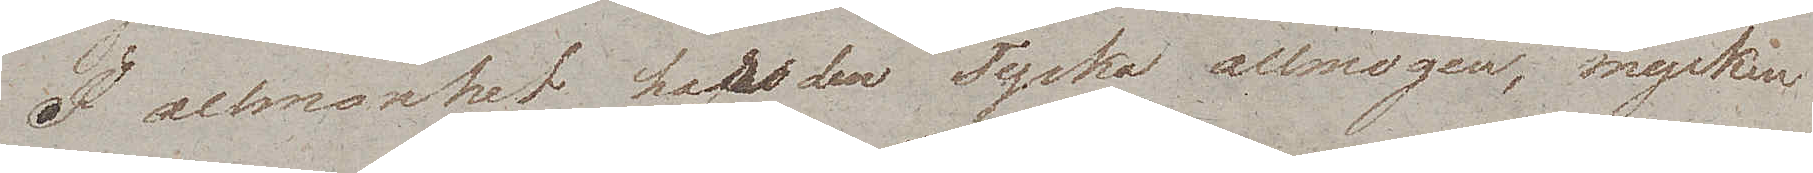I allmänhet har den Tyska allmogen, mycken
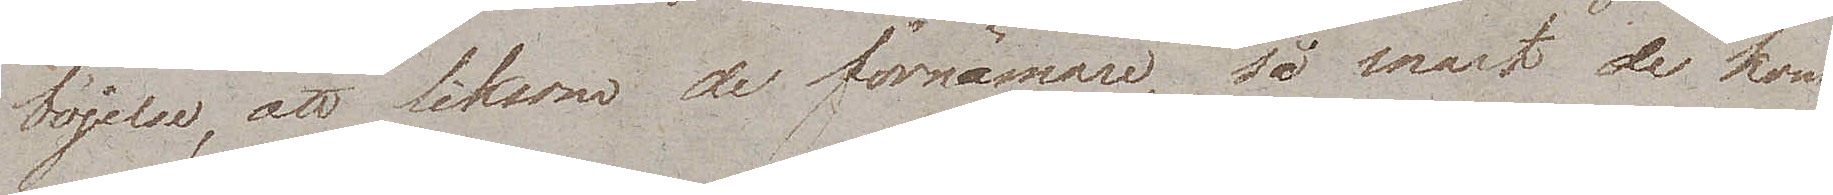böjelse, att liksom de förnämare, så snart de kom¬
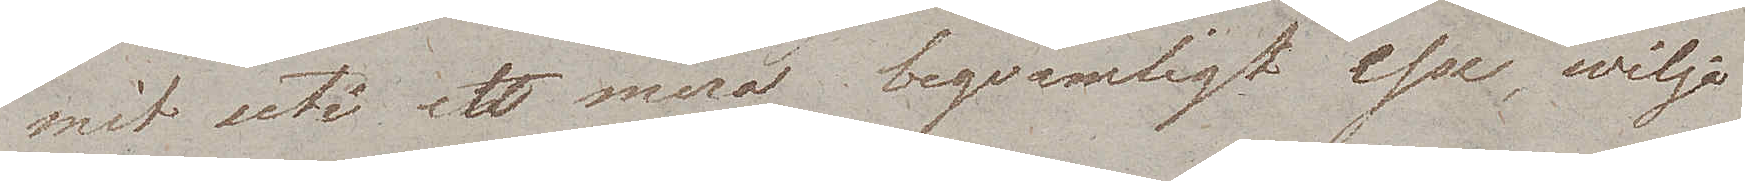mit uti ett mera beqvämligt esse, wilja
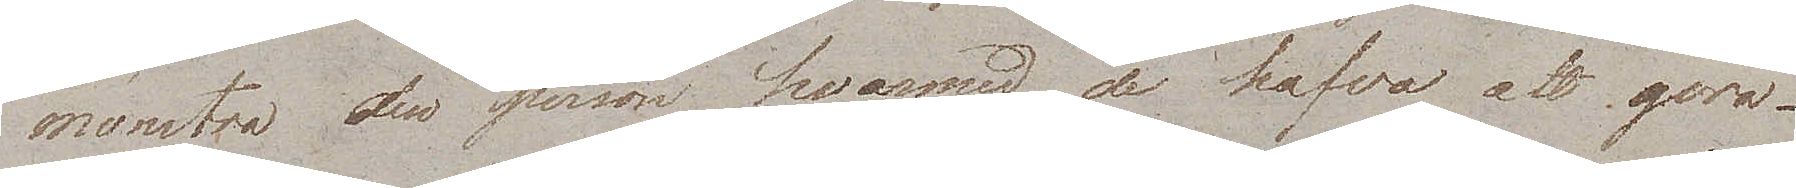mönstra den person hvarmed de hafva att göra.
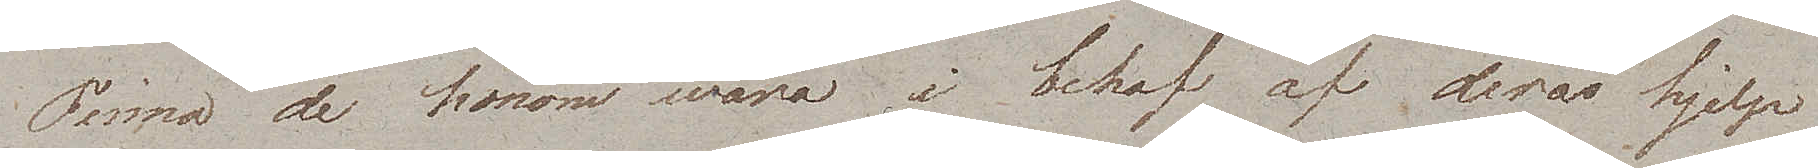Finna de honom wara i behof af deras hjelp
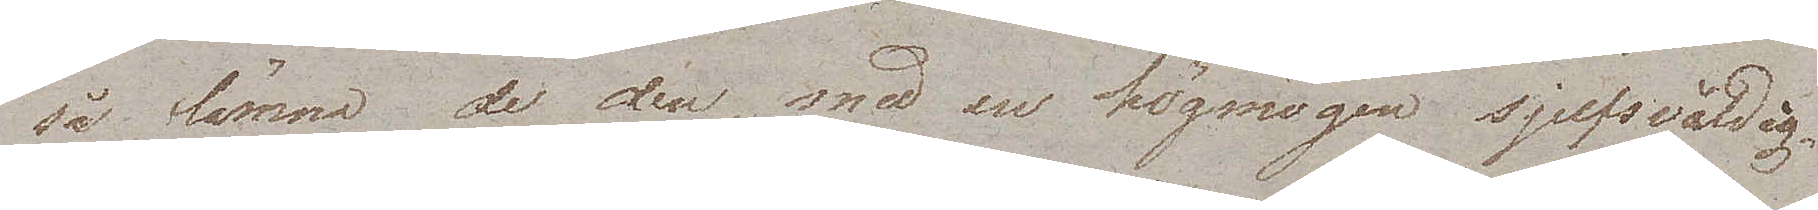så lämna de den med en högmögen sjelfsvåldig¬
